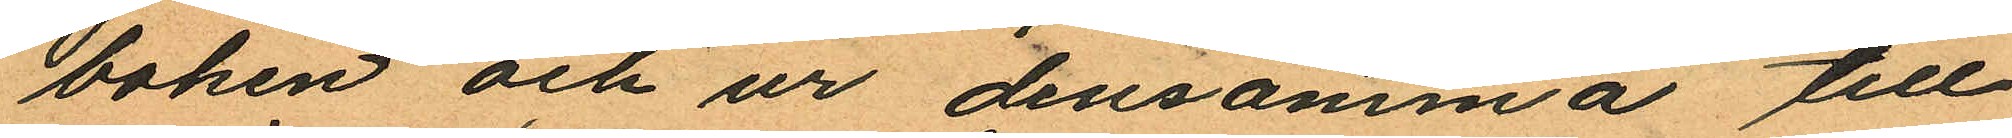boken och ur densamma till
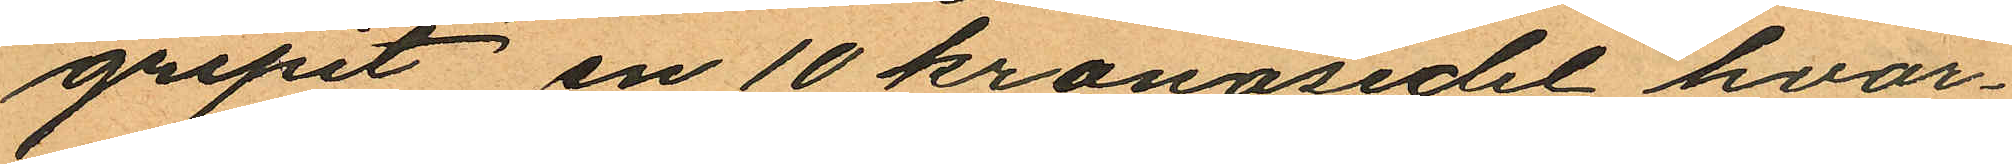gripit en 10 kronosedel hvar¬
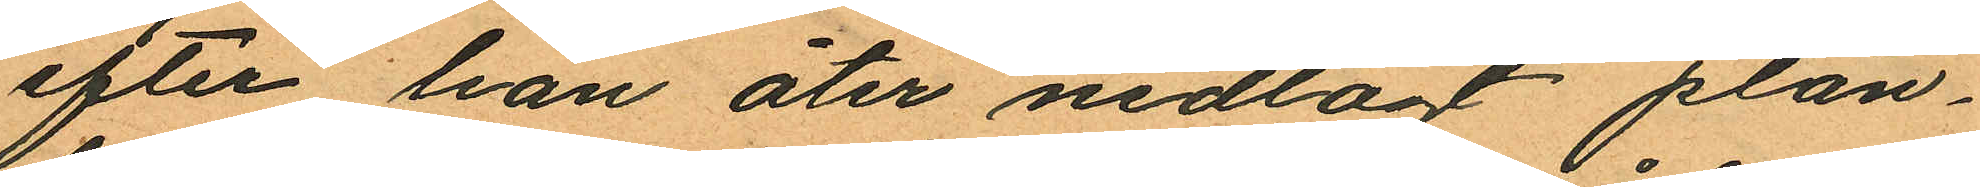efter han åter nedlagt plån¬
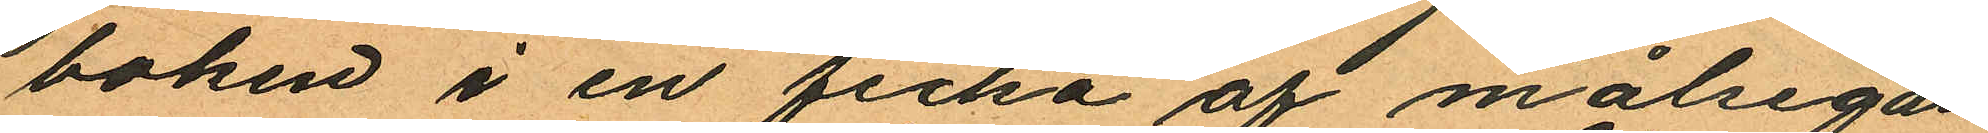boken i en ficka af målsegan¬
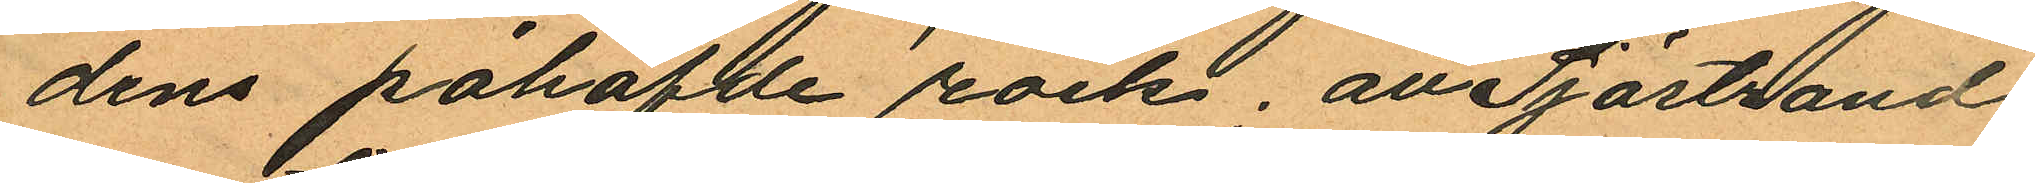dens påhafde rock, att Sjöstrand
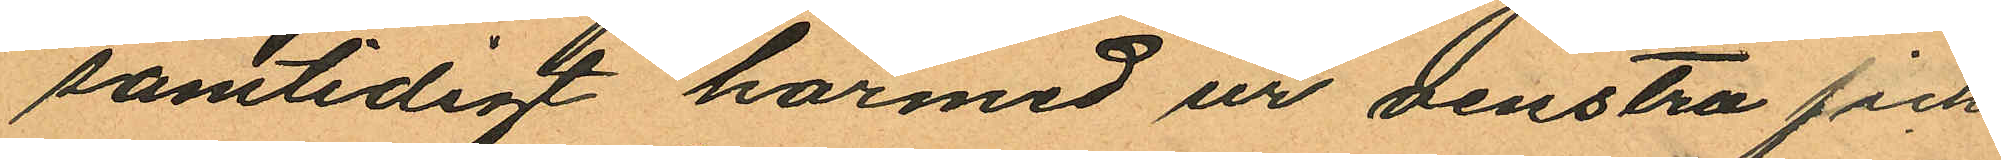samtidigt härmed ur venstra fick
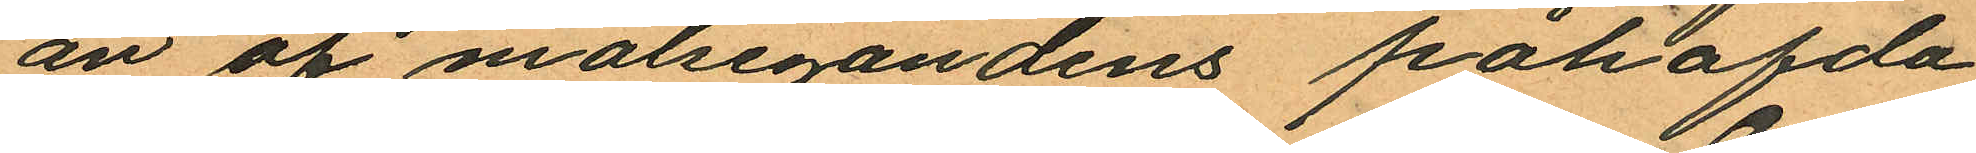an af målsegandens påhafda
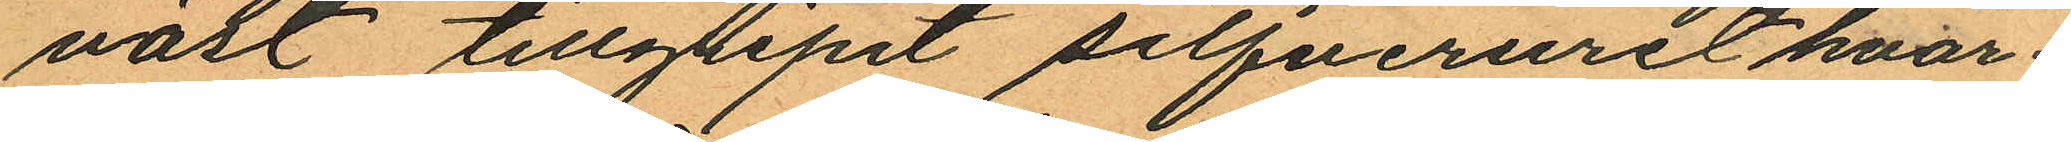väst tillgripit silfveruret hvar¬
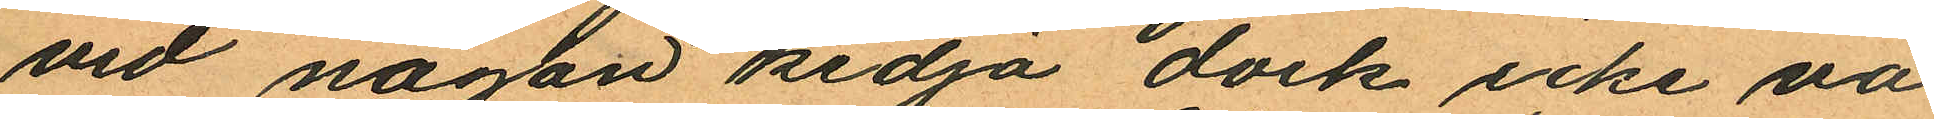vid någon kedja dock icke va¬
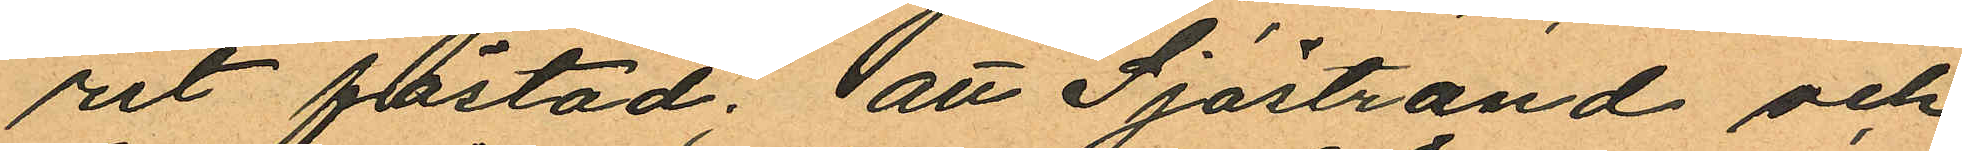rit fästad; att Sjöstrand och
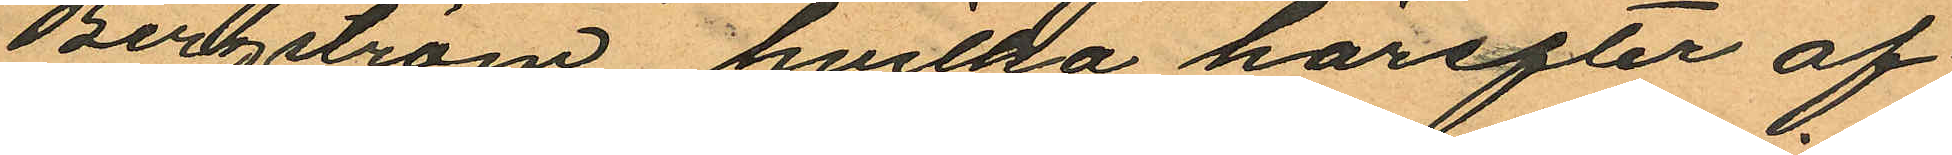Bergström, hvilka härefter af¬
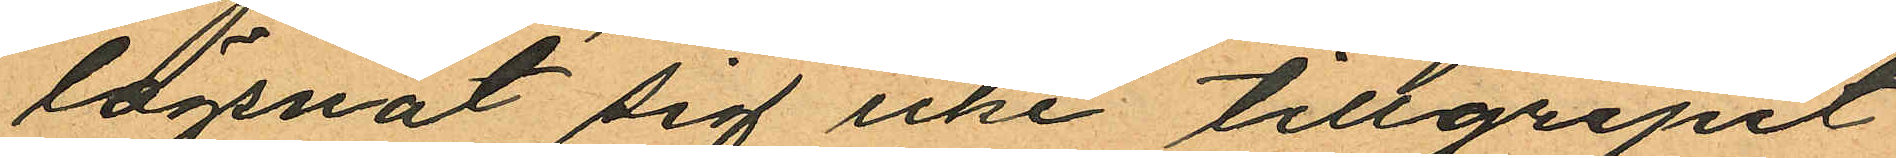lägsnat sig icke tillgripit
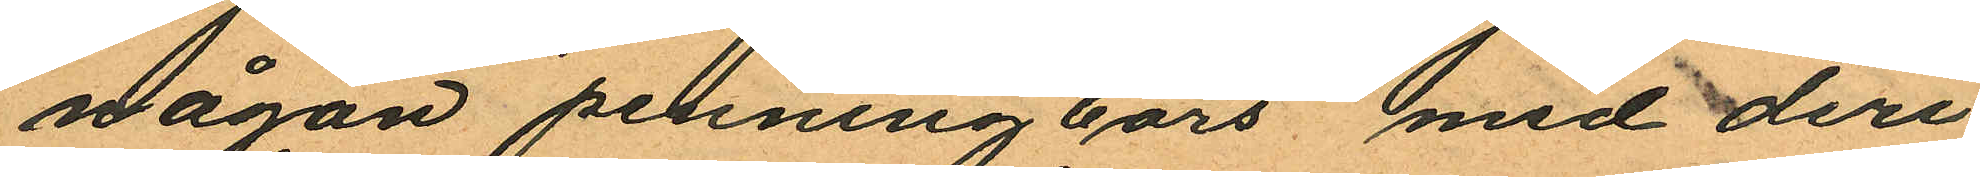någon penningbörs med deri
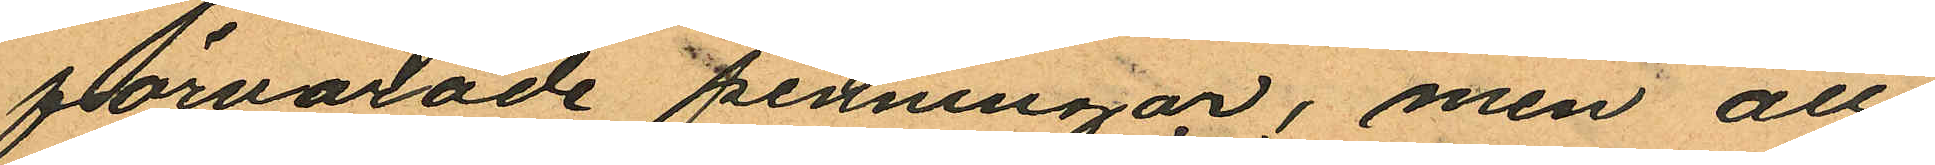förvarade penningar, men att
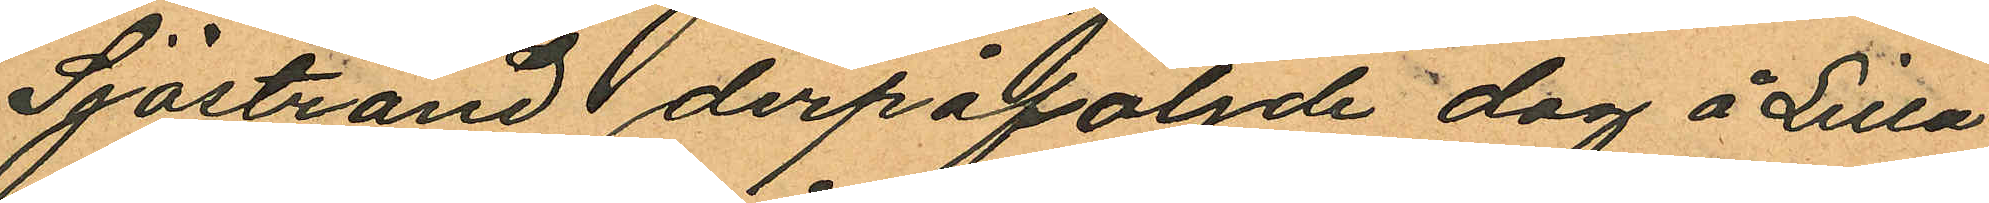Sjöstrand derpåföljde dag å Lilla
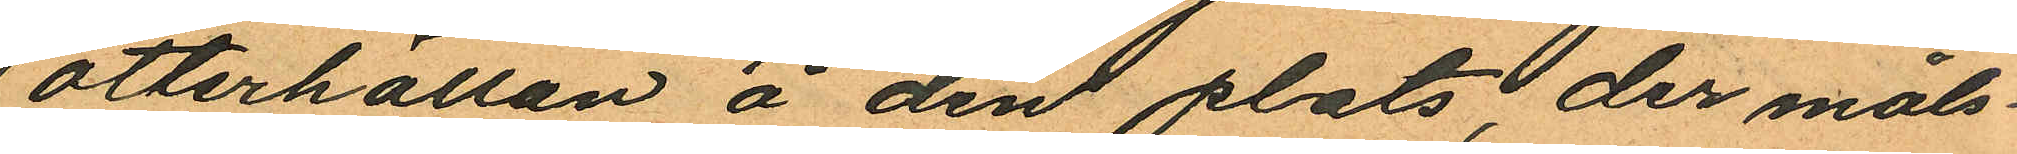otterkällan å den plats, der måls¬
